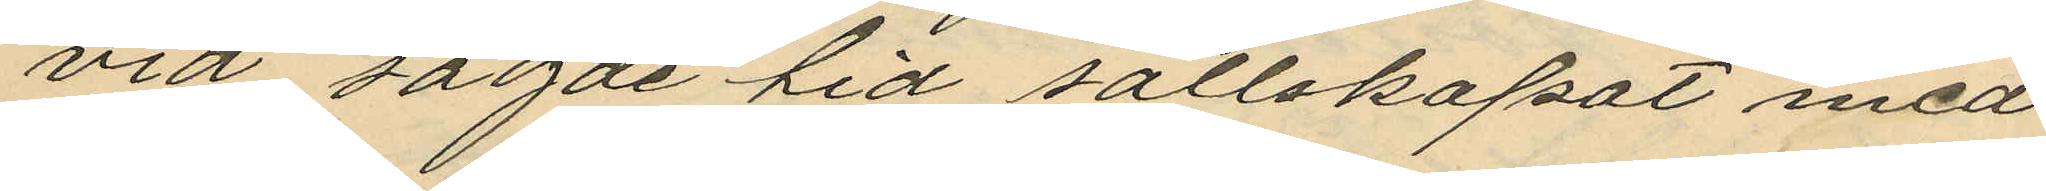vid sagde tid sällskapat med
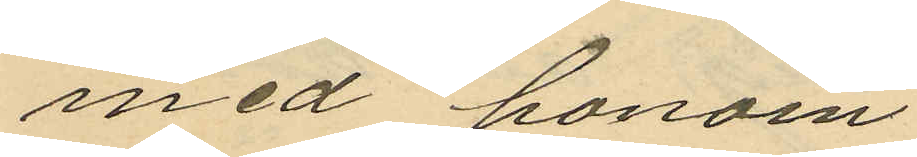med honom
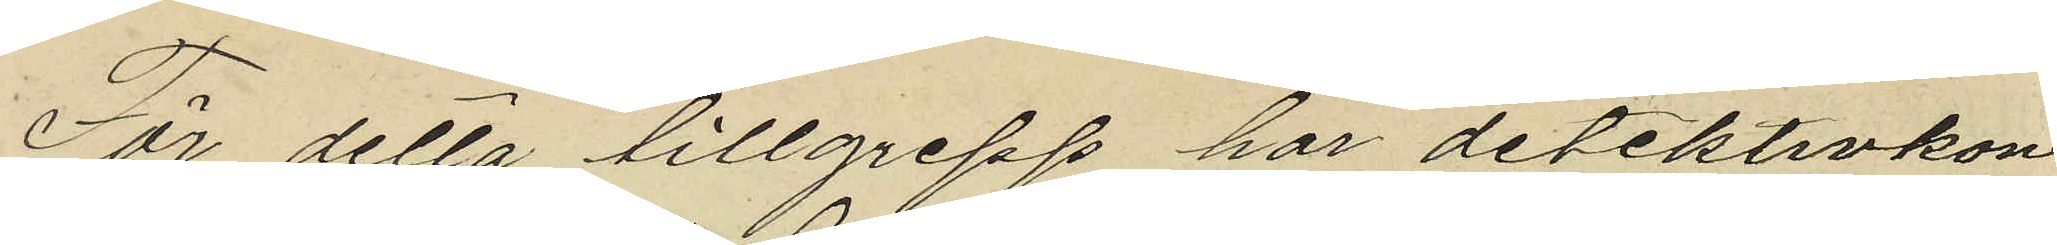För detta tillgrepp har detektivkon¬
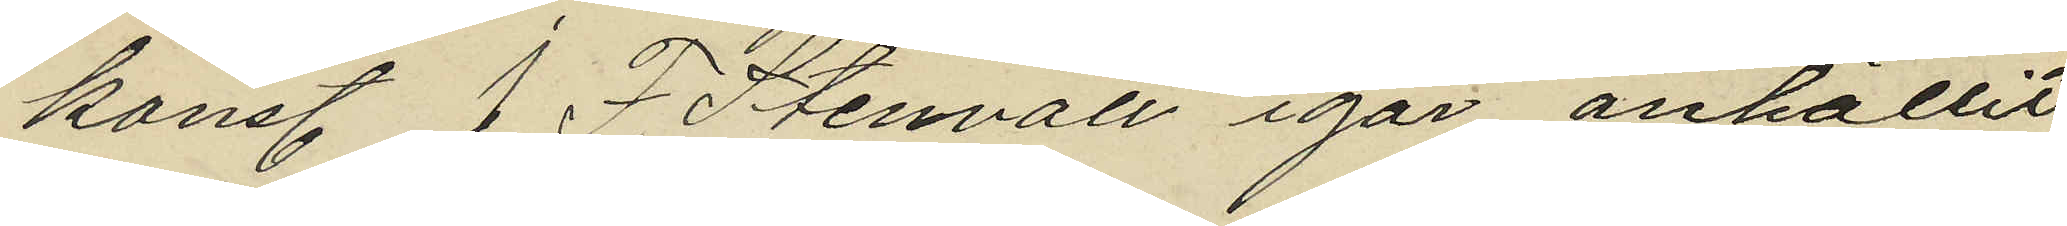konst. J. F. Stenvall igar anhållit
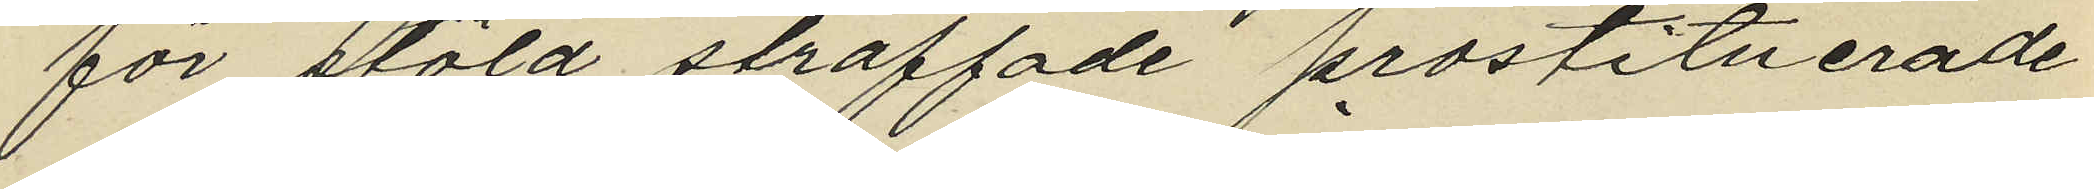för stöld straffade prostituerade
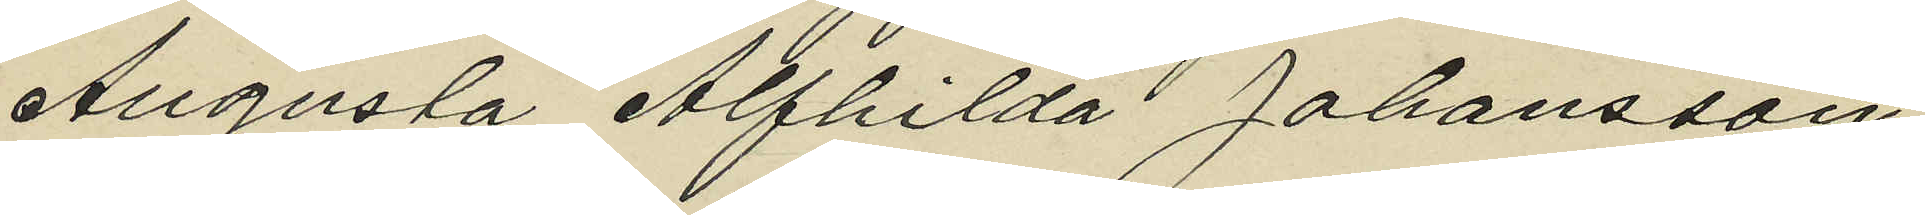Augusta Alfhilda Johansson
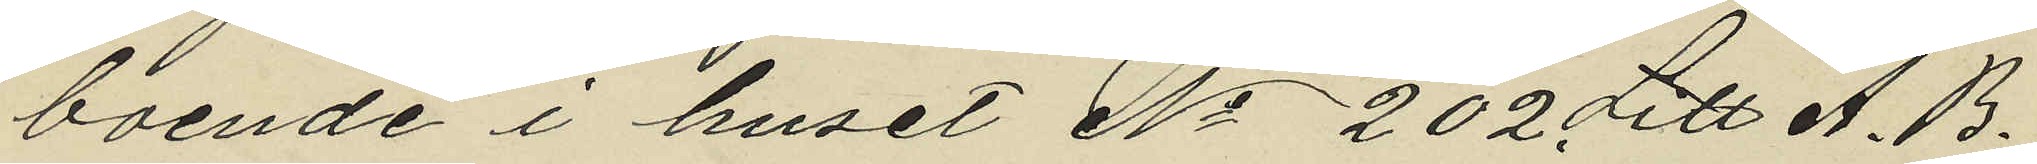boende i huset No 202 Litt A. B.
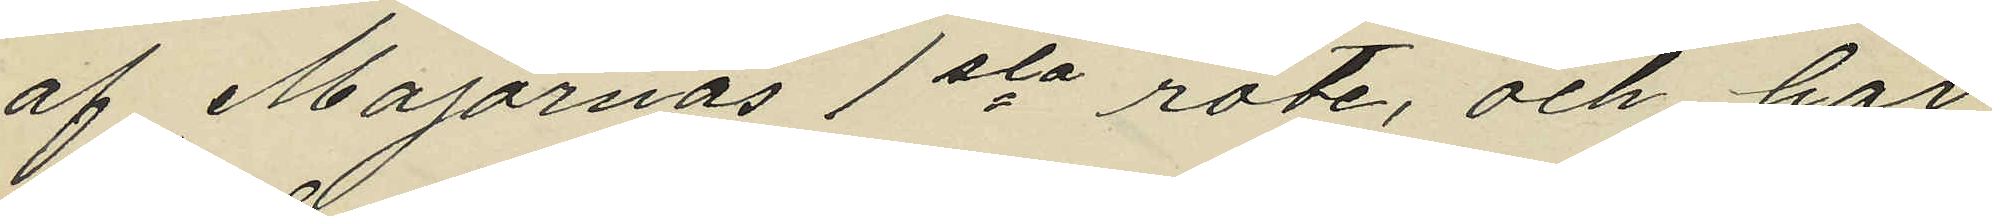af Majornas 1sta rote, och har
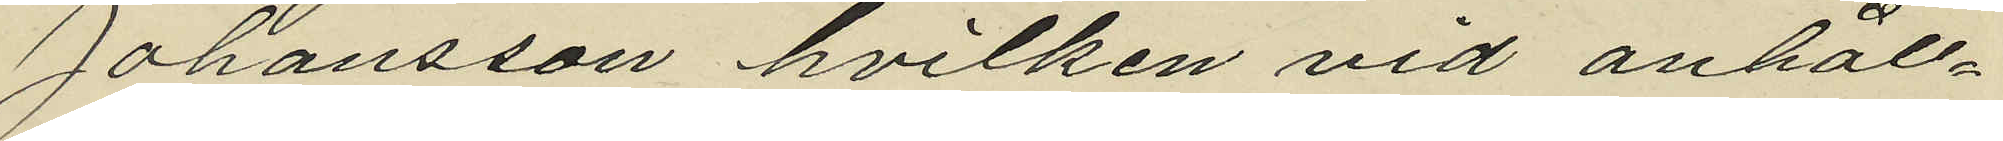Johansson hvilken vid anhåll¬
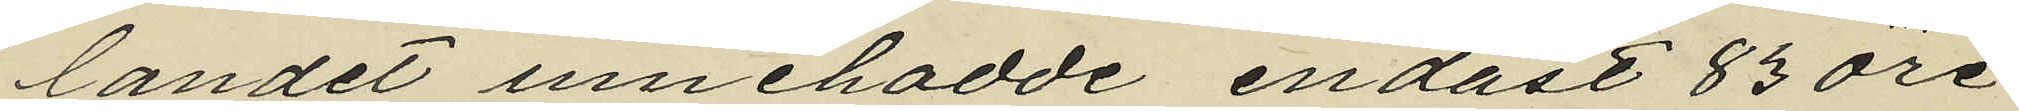landet innehadde endast 83 öre
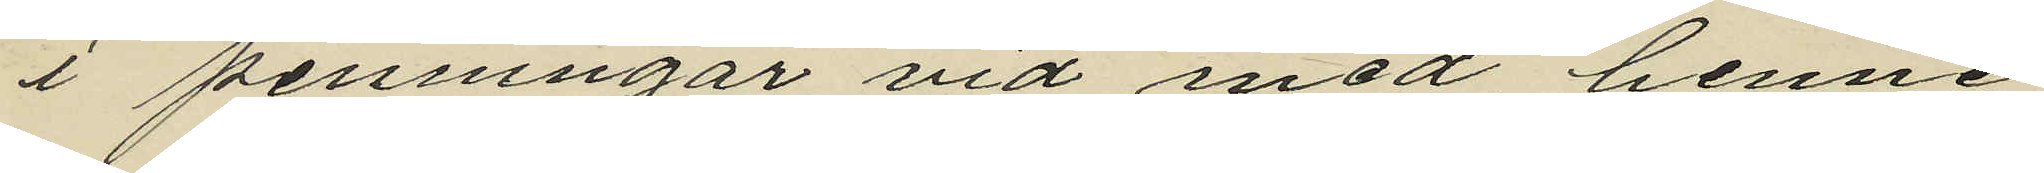i penningar vid med henne
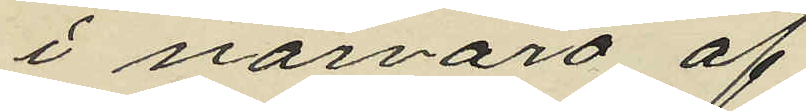i närvaro af
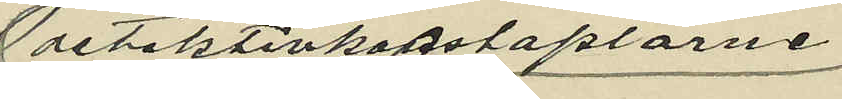detektivkonstaplarne
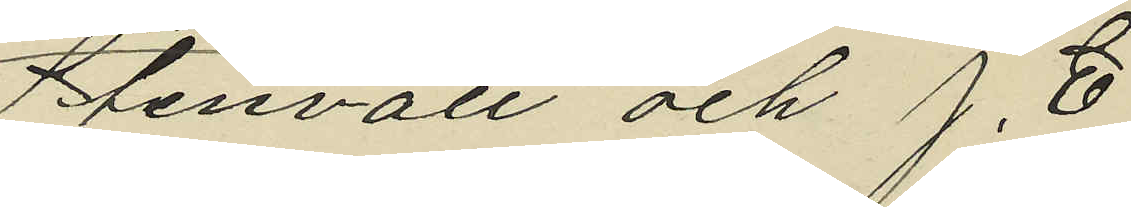Stenvall och J. E
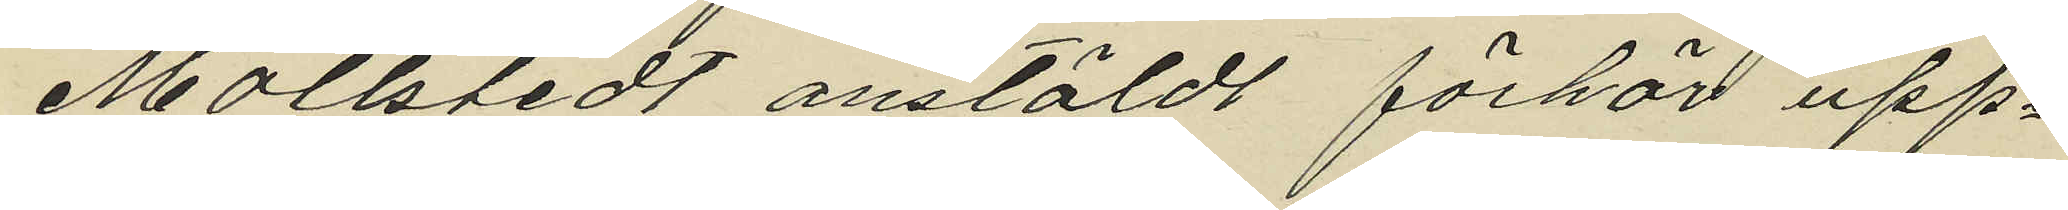Mollstedt anstäldt förhör upp¬
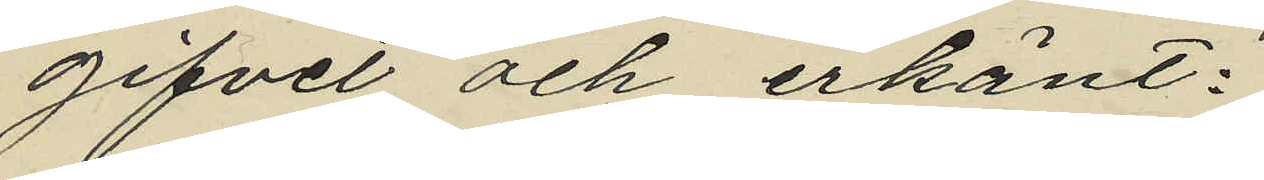gifvet och erkänt:
